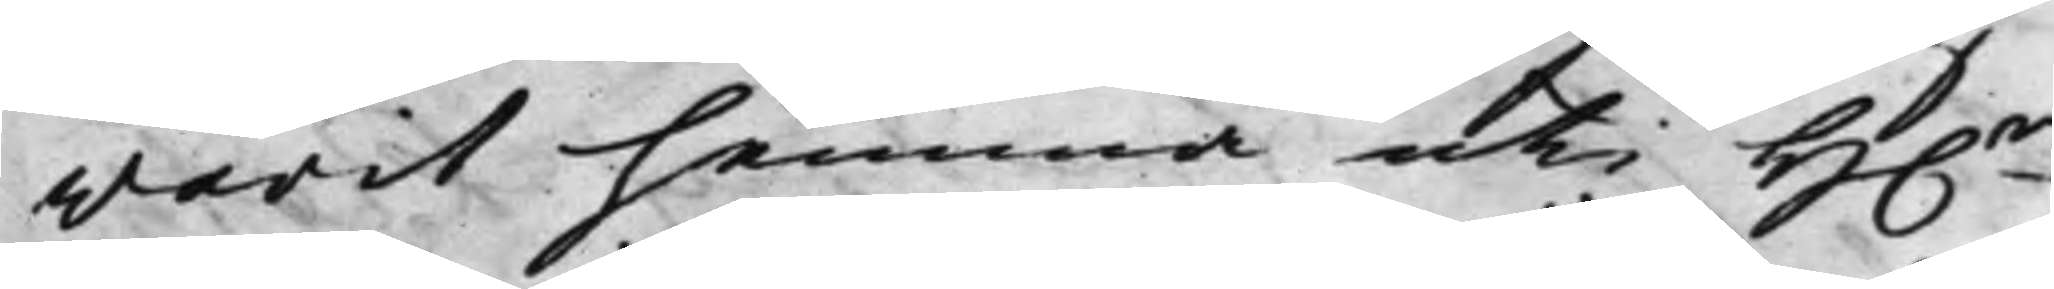warit hemma uti H.r
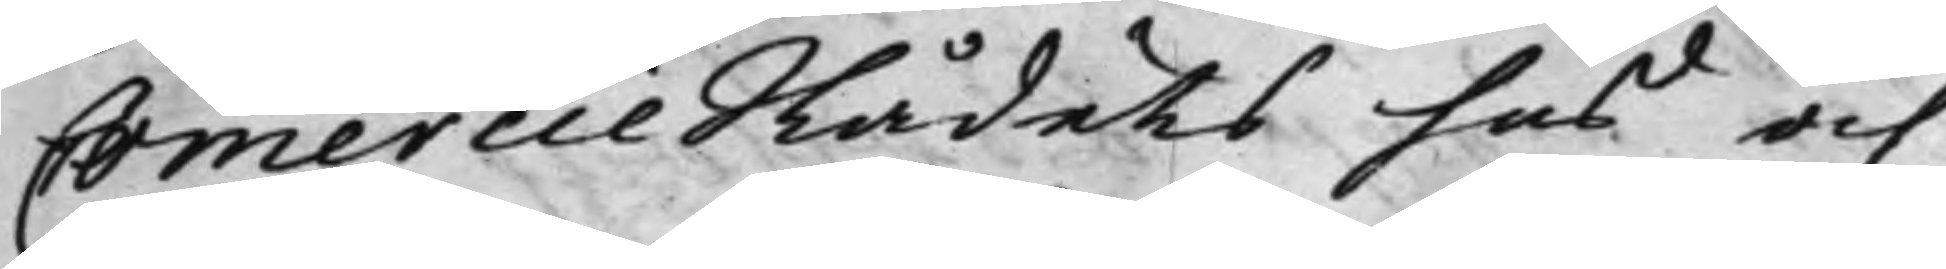CommercieRådets hus och
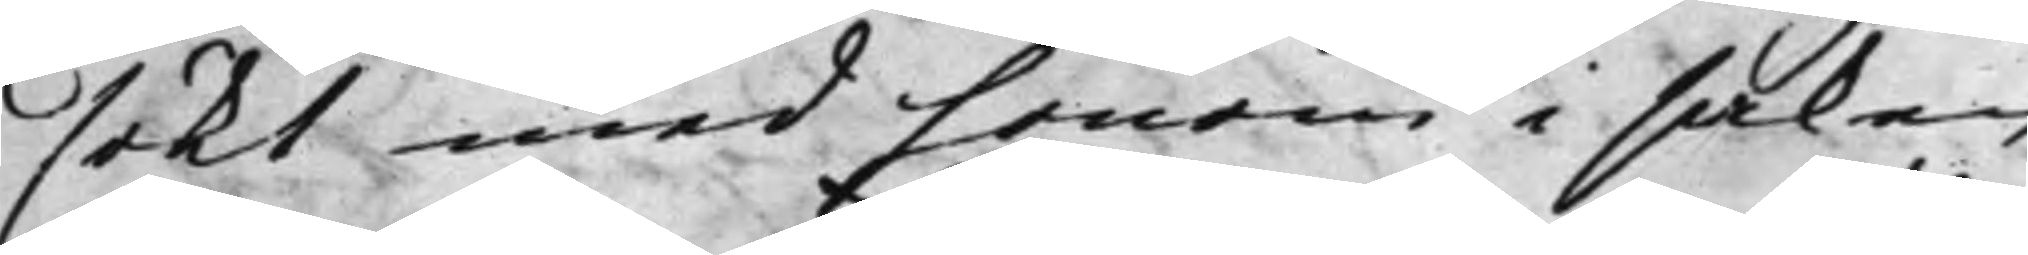sökt med honom i saken
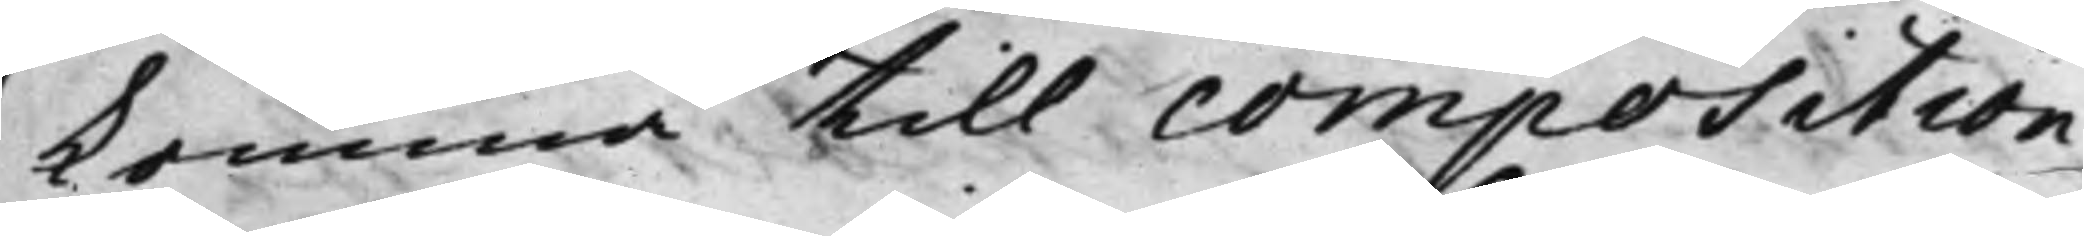komma till composition
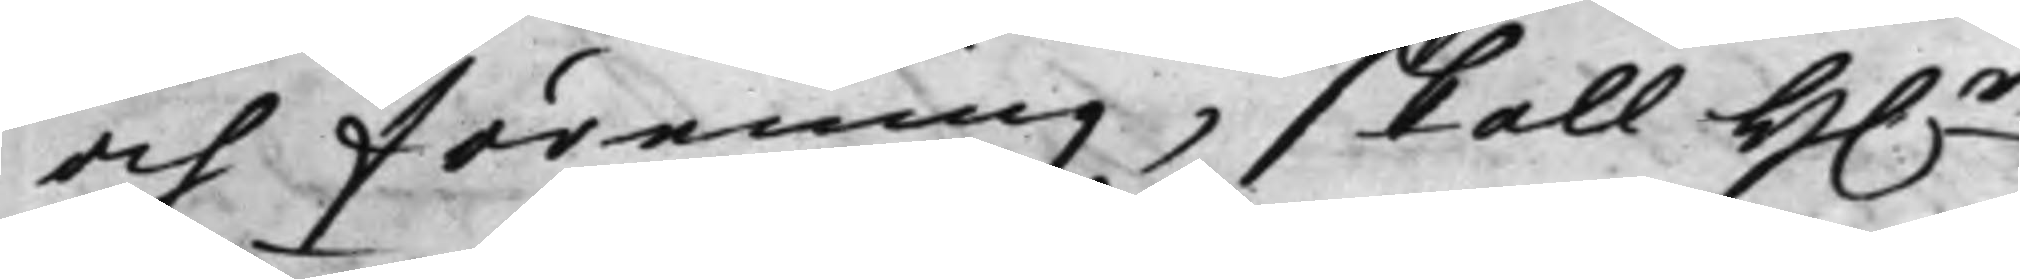och förening, skall H.r
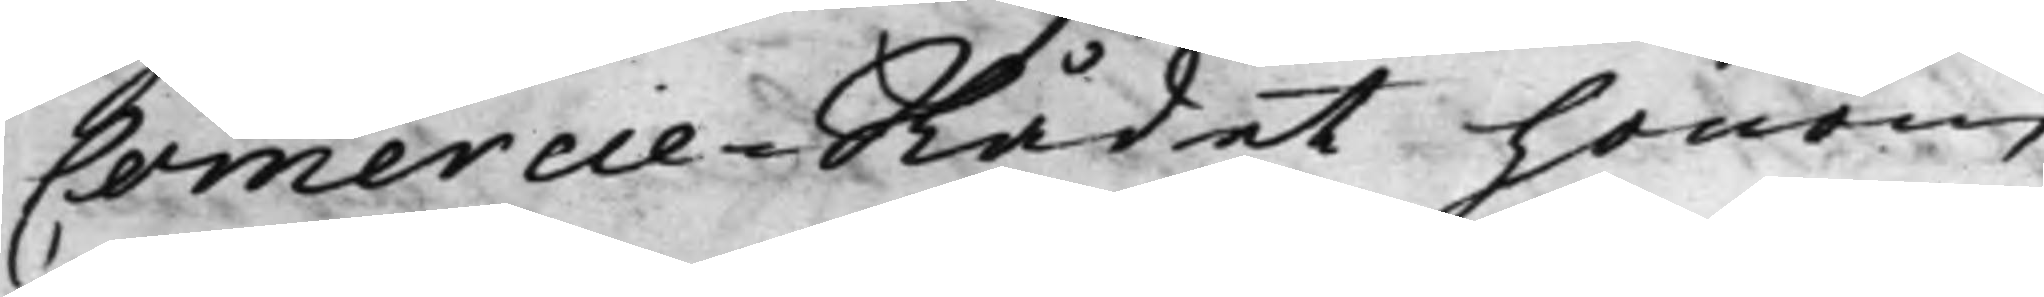CommercieRådet honom
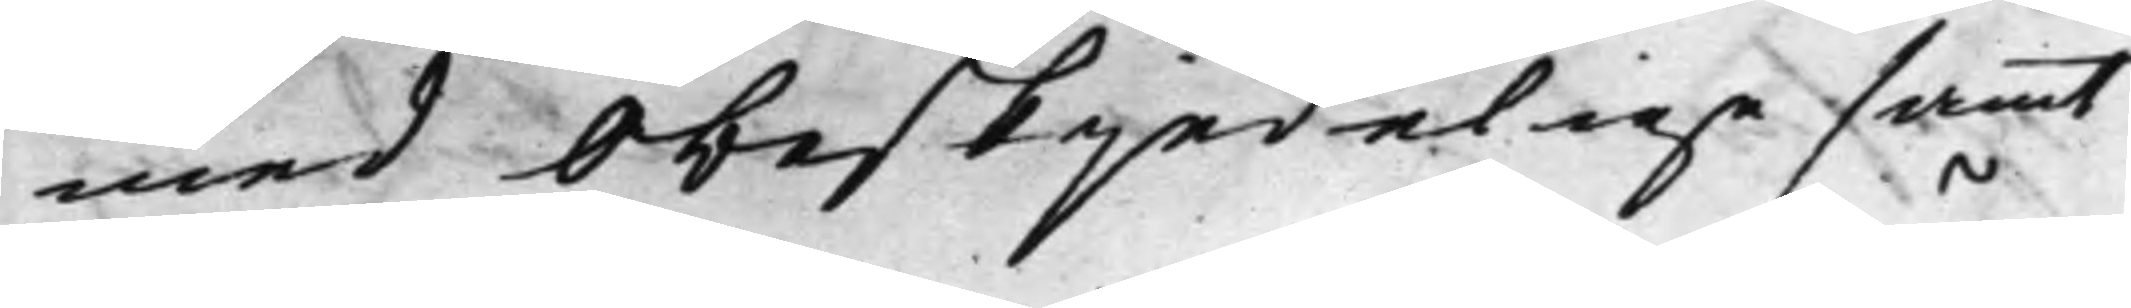med obeskjedelige samt
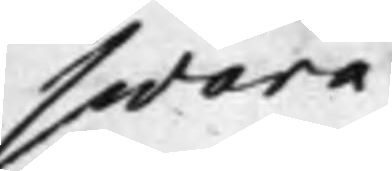swära
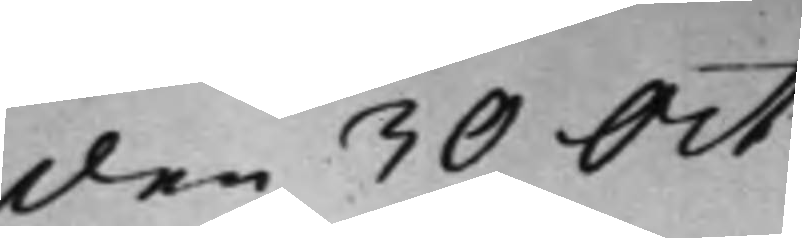den 30 Oct.
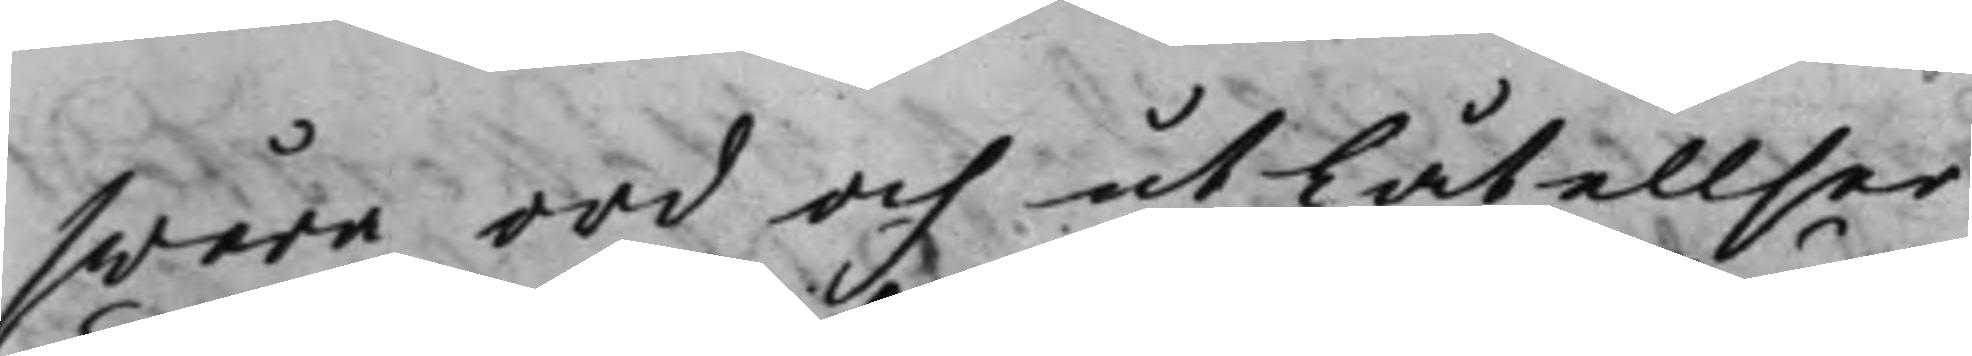swåra ord och utlåtelser
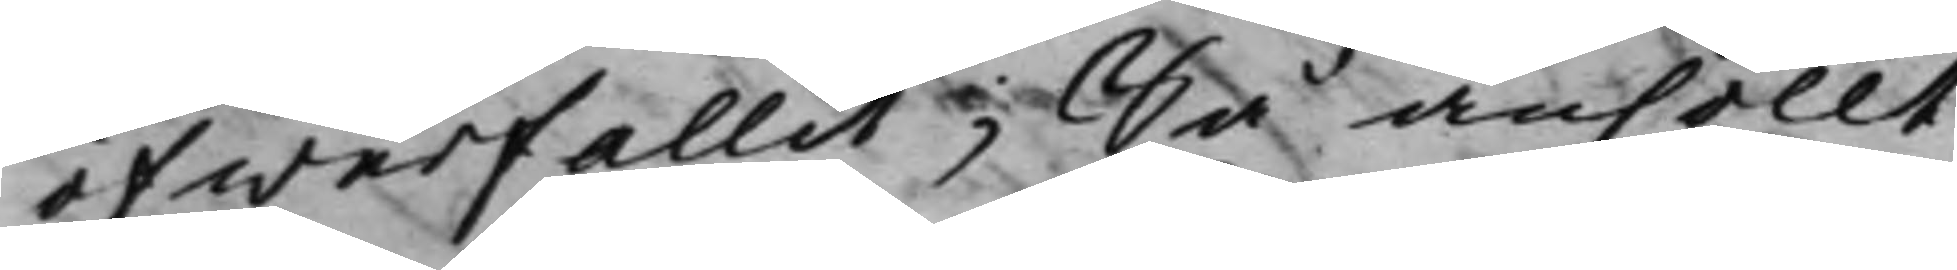öfwerfallit; Så anhöllt,
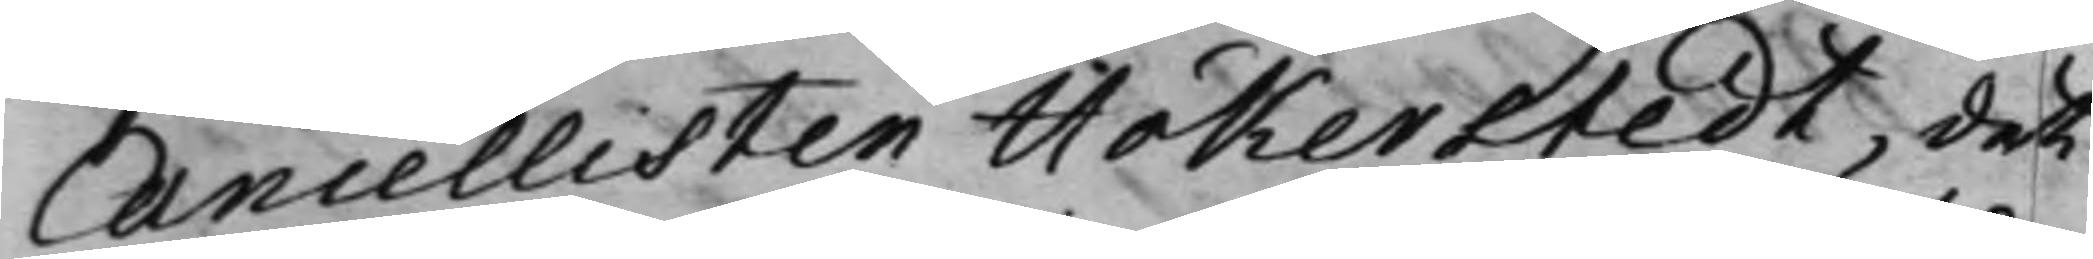Cancellisten Hökerstedt, det
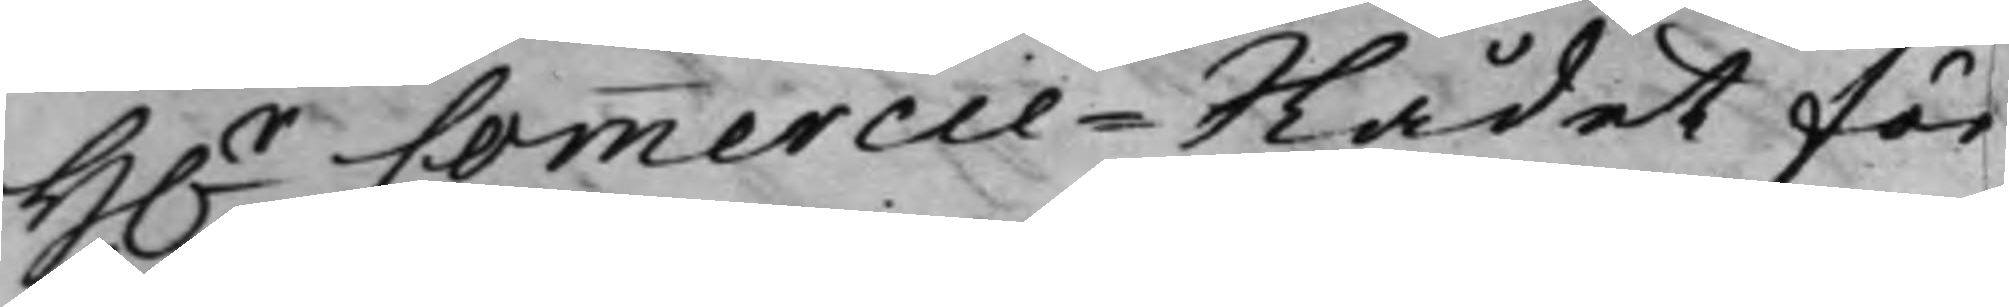H.r Commercie-Rådet för
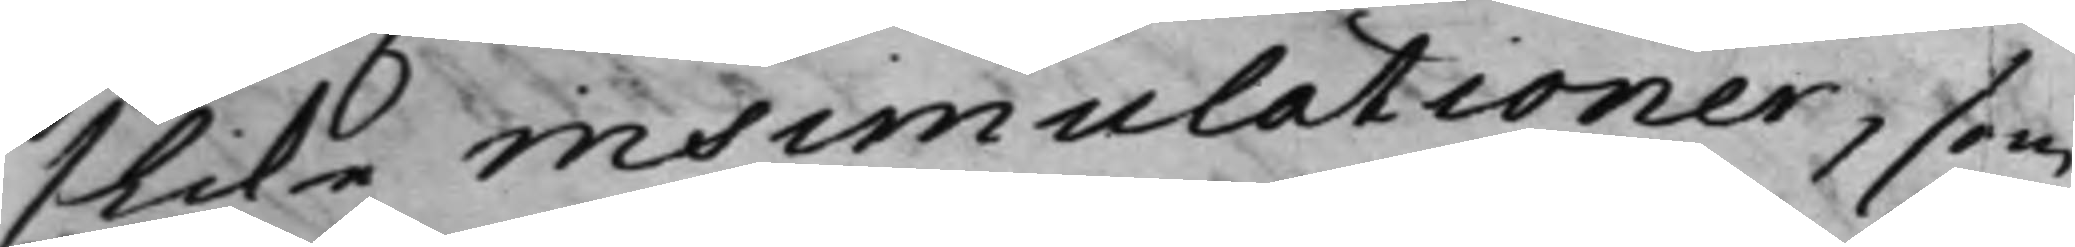slika insimulationer, som
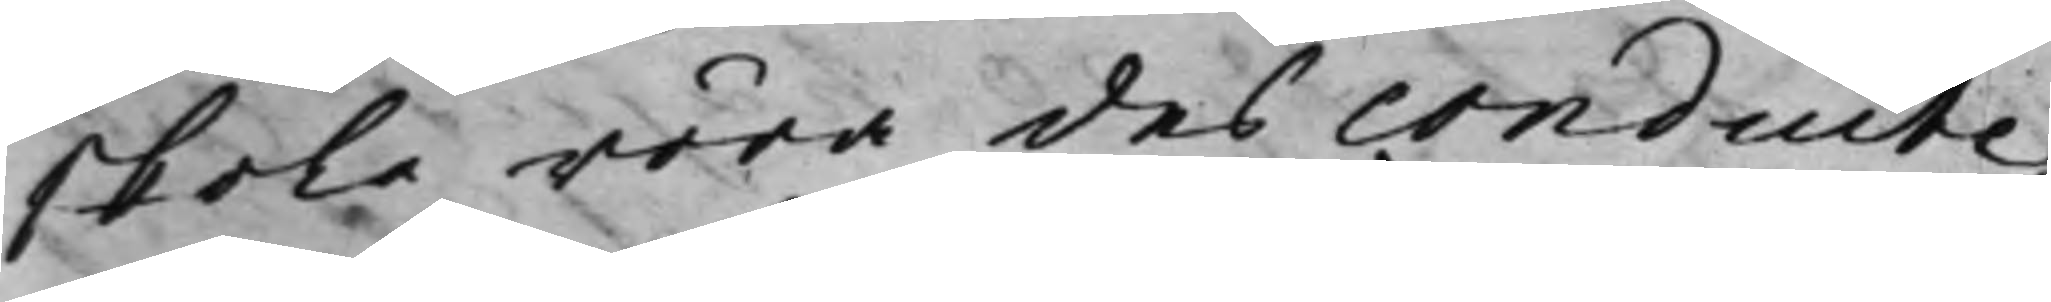skola röra des condruite;
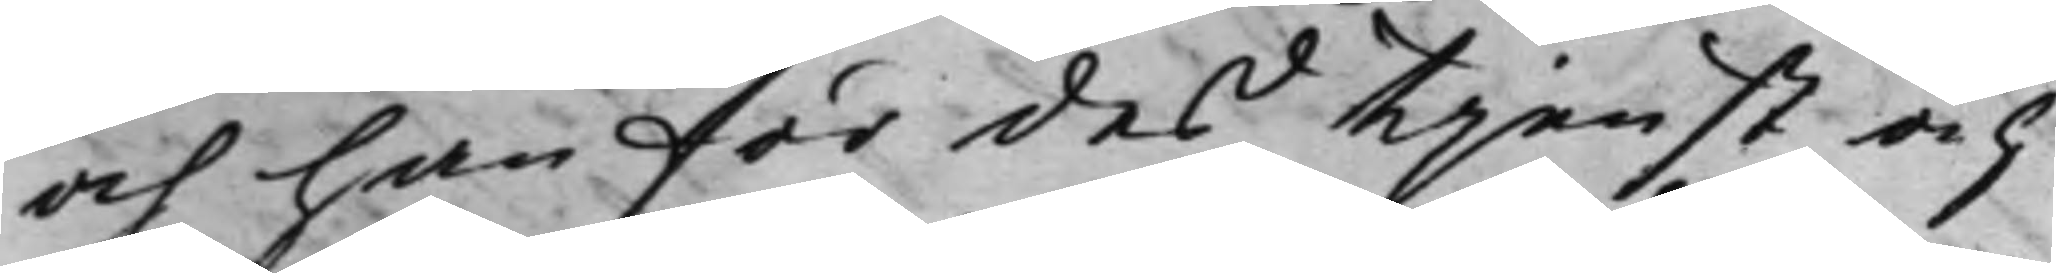och han för des tjenst och
